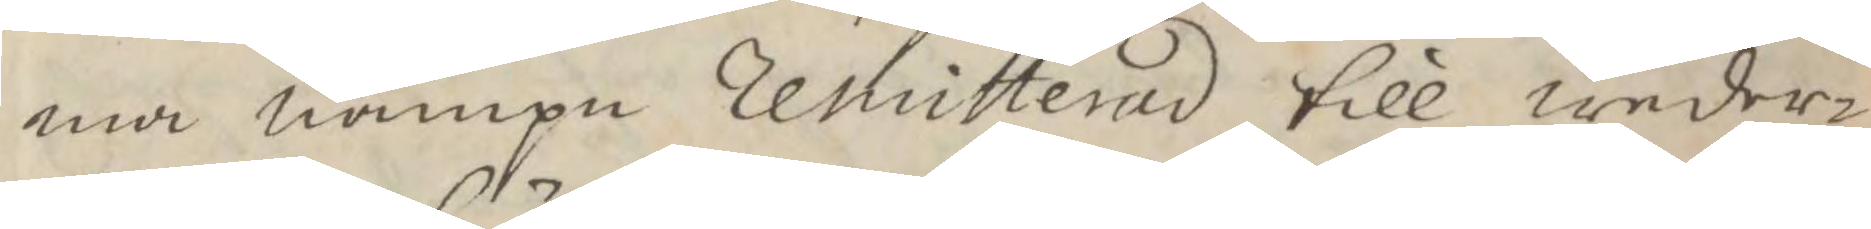ma nampn Remitterad till weder¬
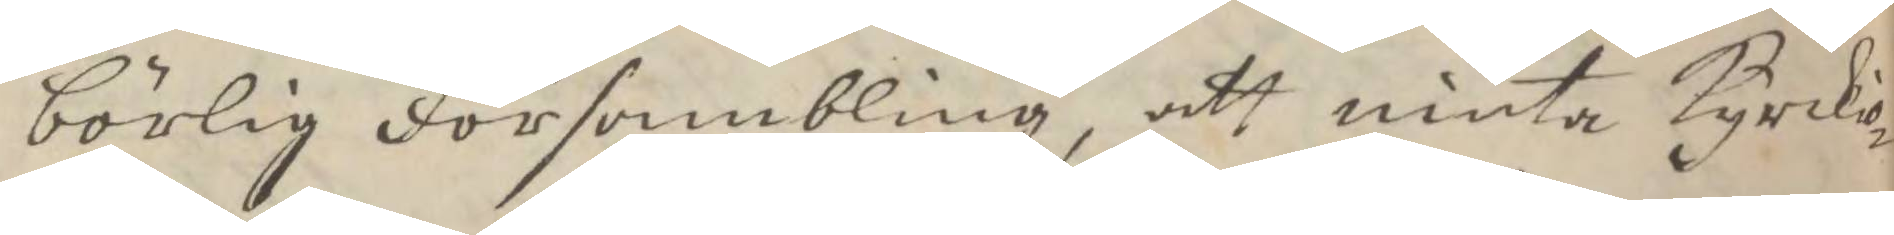börlig Försambling, att niuta Kyrckio¬
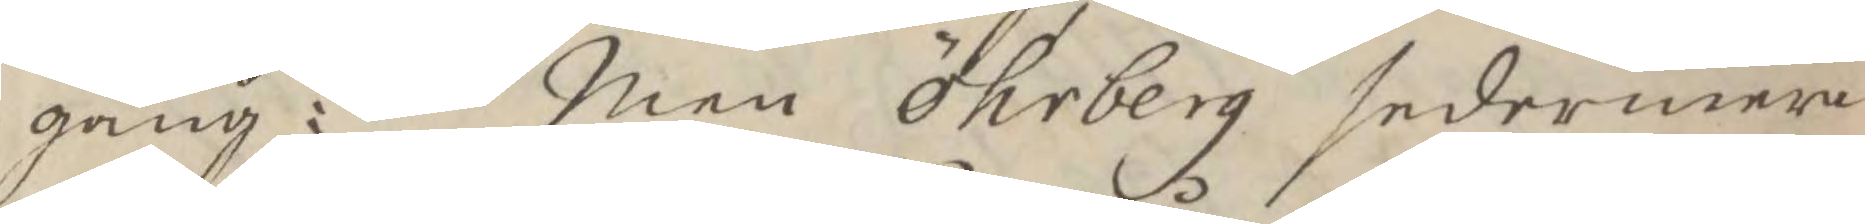gång: Men Öhrberg sedermera
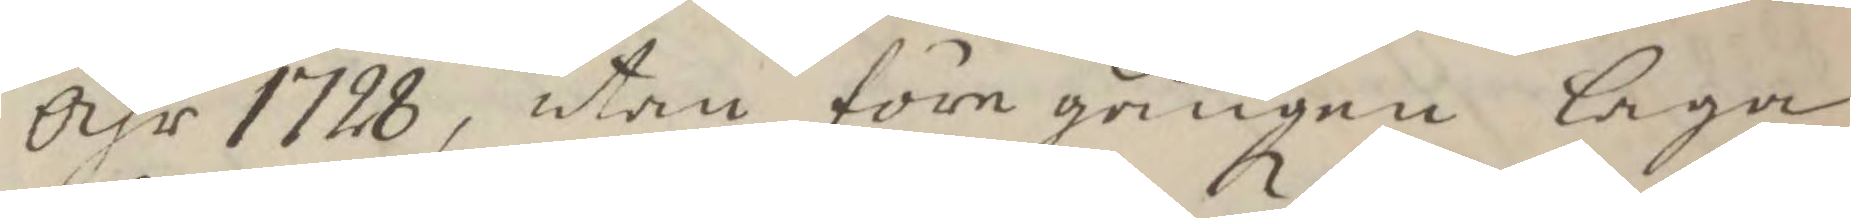Åhr 1728, utan föregången laga
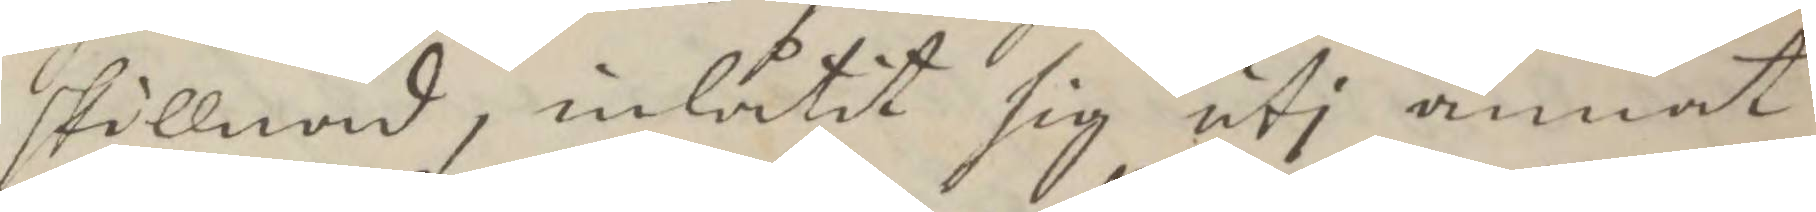skillnad, inlåtit sig uti annat
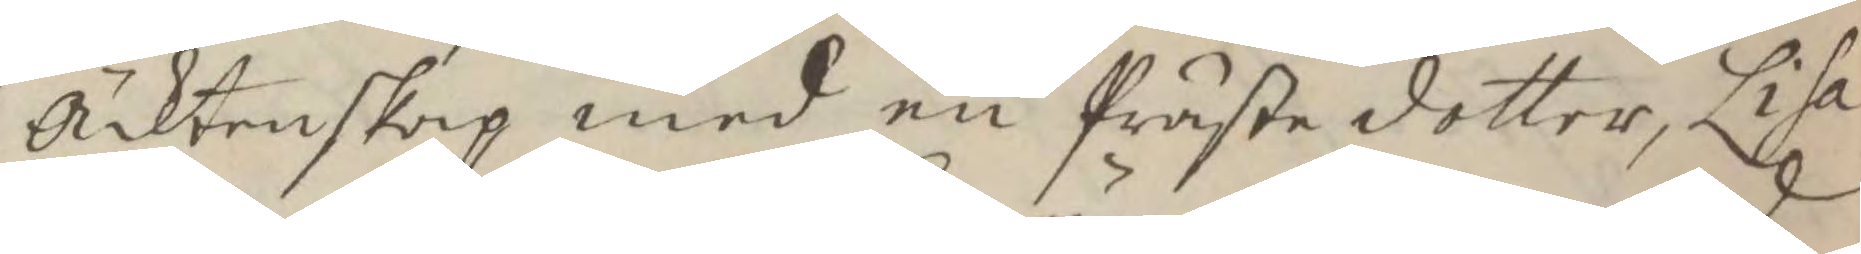Äcktenskap med en Prästedotter, Lisa
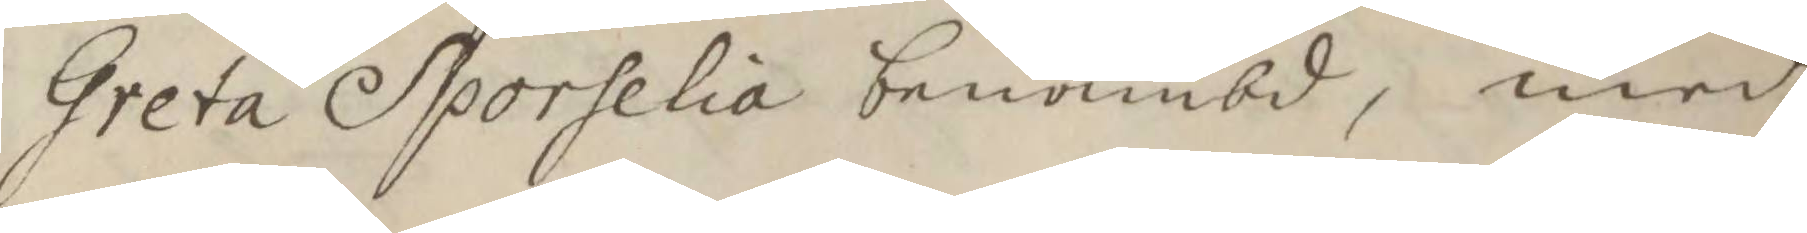Greta Sporhelia benämbd, med 
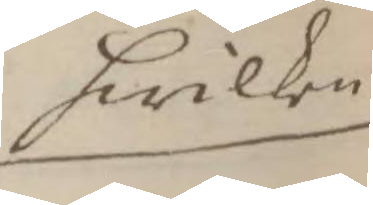hwilken
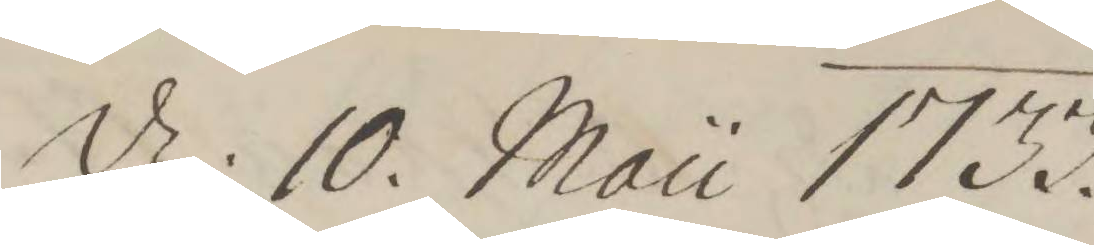d: 10. Mau 1733
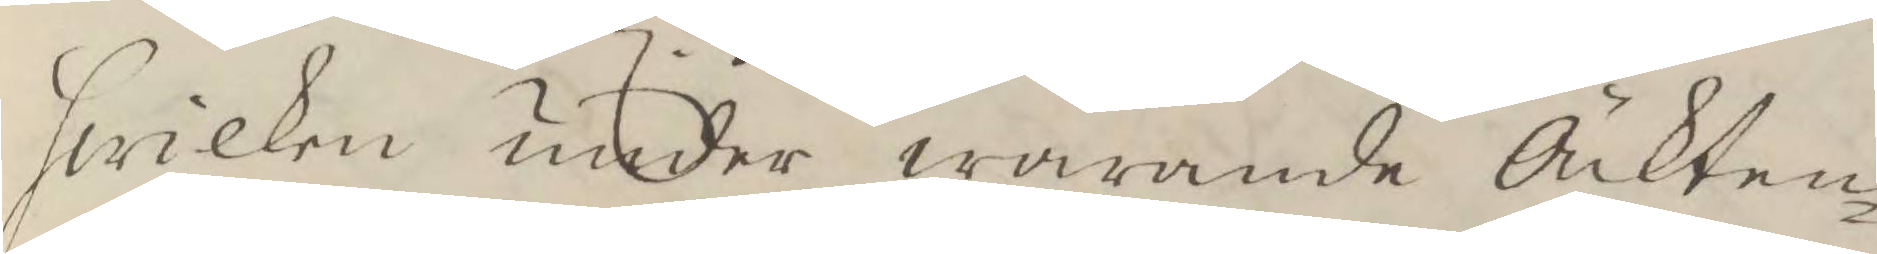hwilken under warande Äckten¬
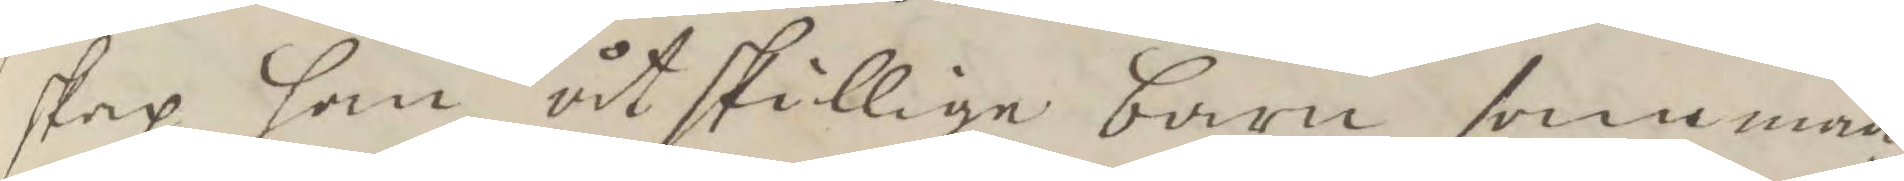skap han åtskilliga barn samman¬
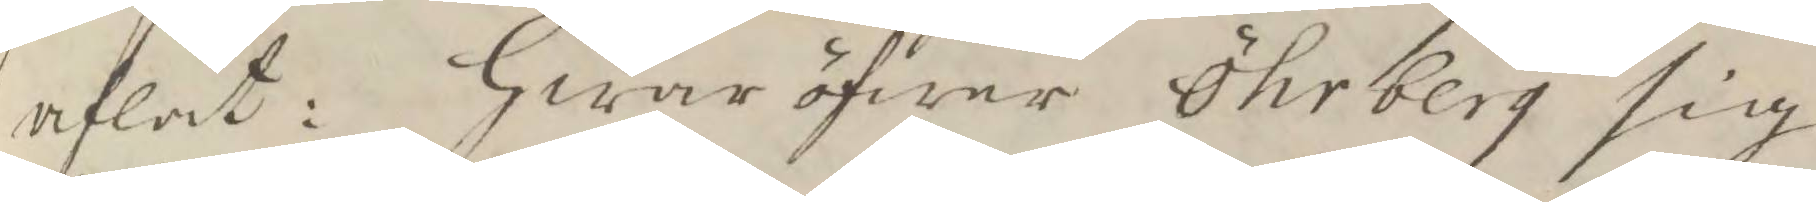aflat: Hwar öfwer Öhrberg sig
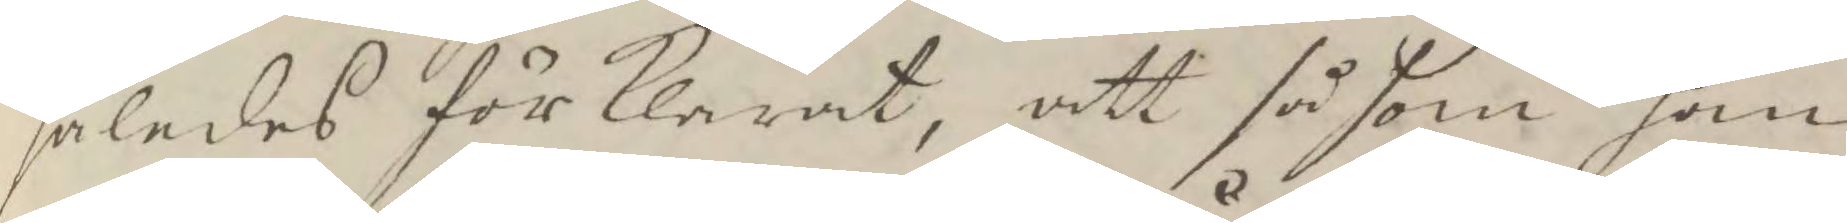således förklarat, att såsom han
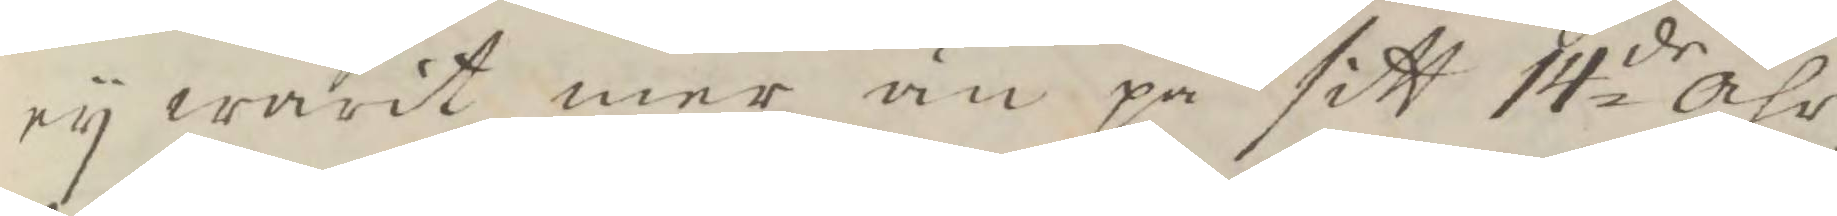ey warit mer än på sitt 14de Åhr
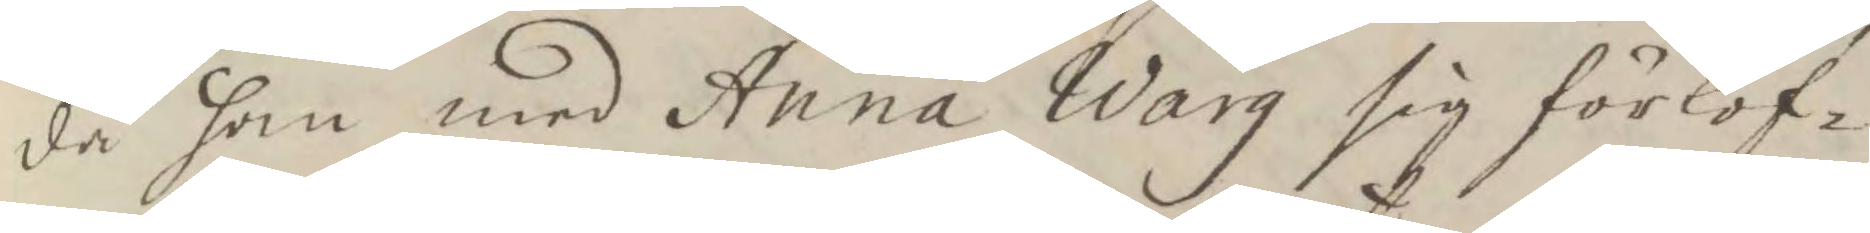då han med Anna Warg sig förlof¬
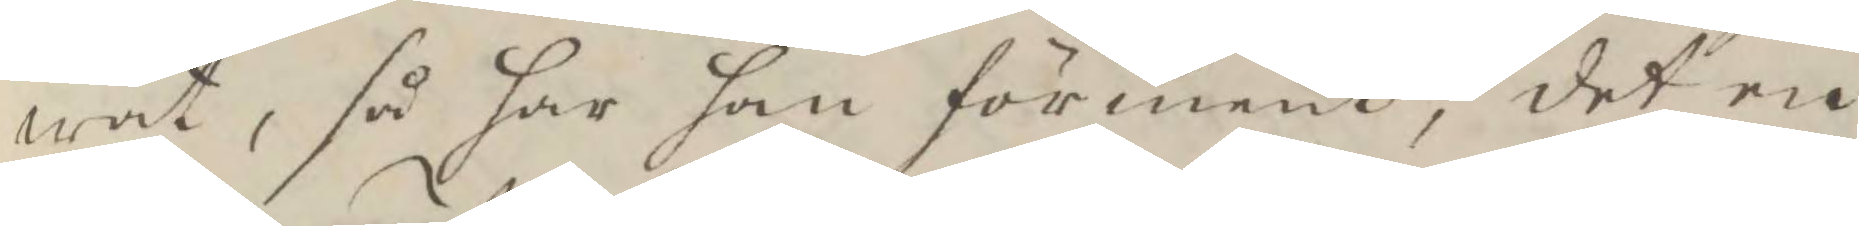wat, så har han förmenat, det en
